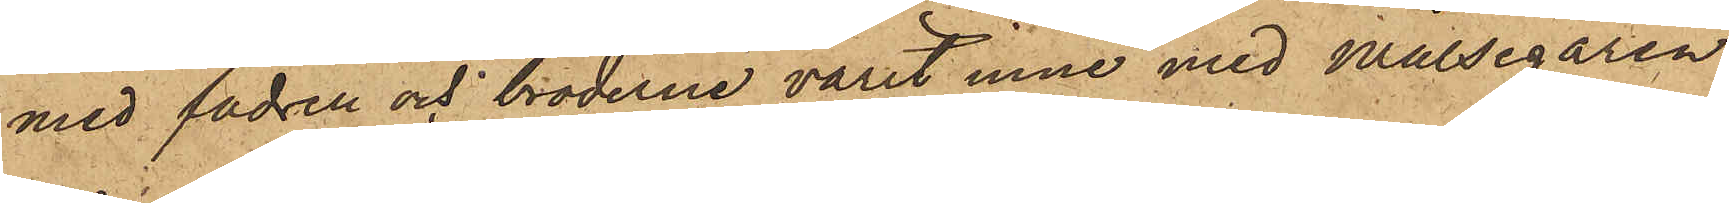med fadren och bröderne varit inne med Målsegaren
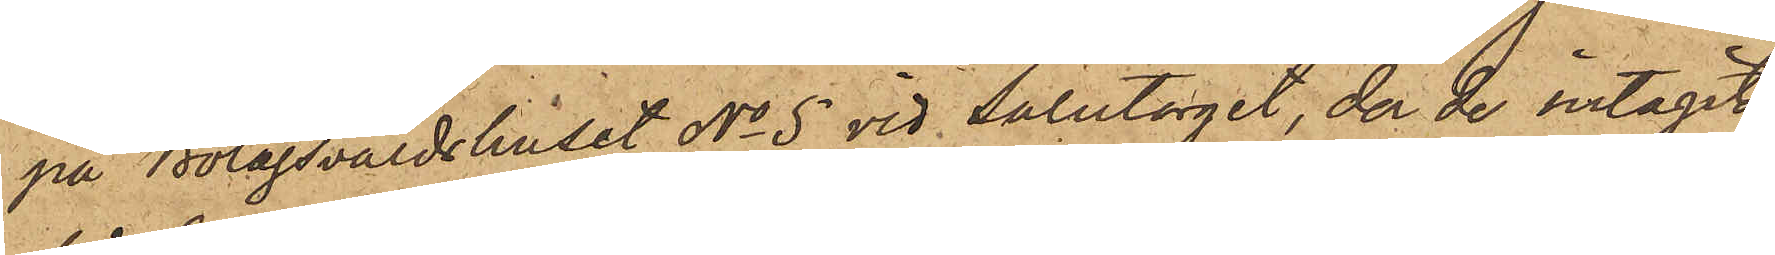på Bolagsvärdshuset No 5 vid Salutorget, der de intagit
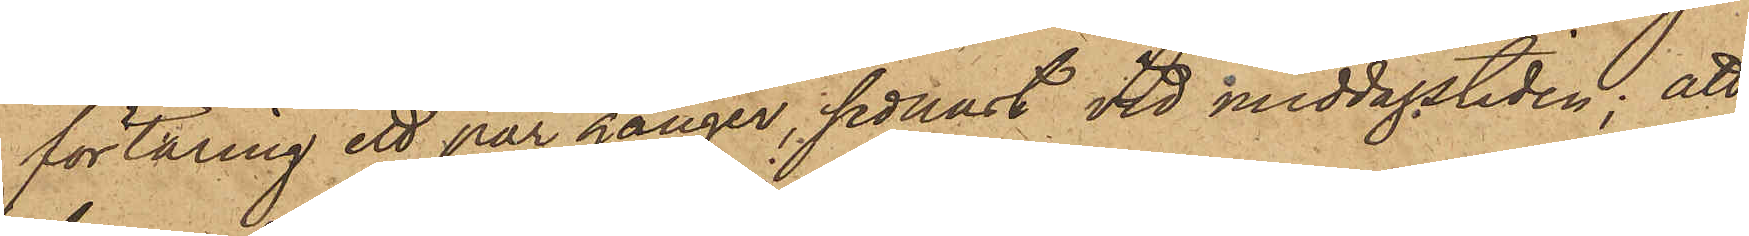förtäring ett par gånger, sednast vid middagstiden; att
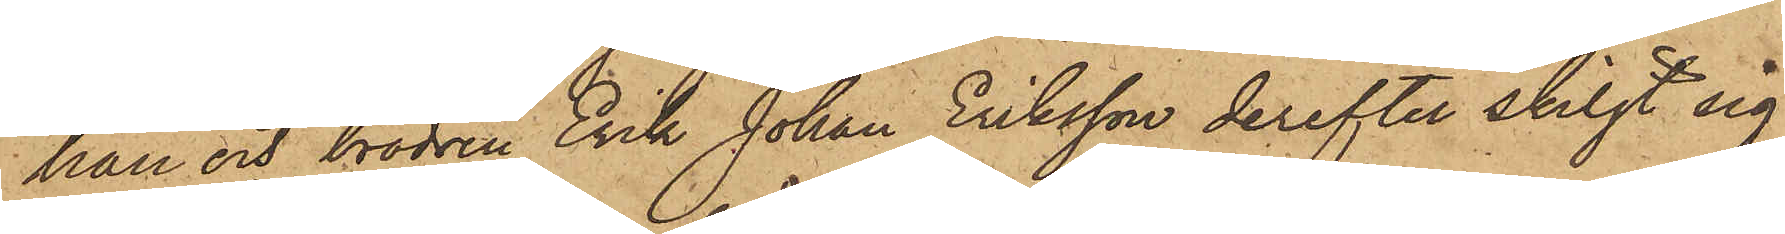han och brodren Erik Johan Eriksson derefter skiljt sig
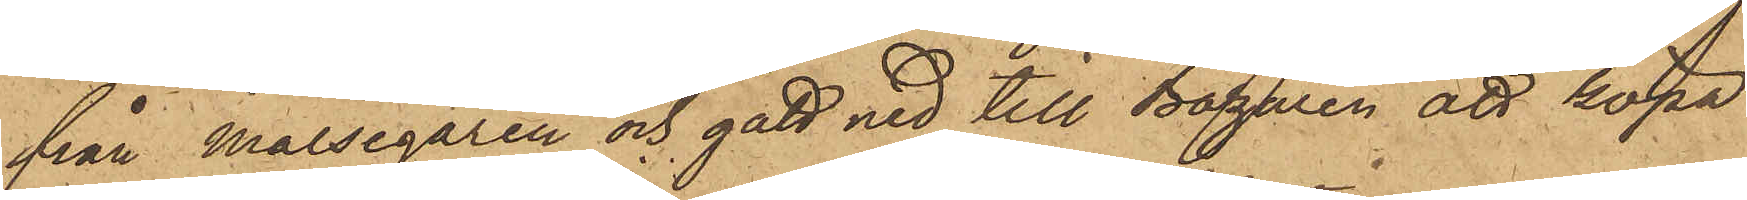från Målsegaren och gått ned till Bazaren att köpa
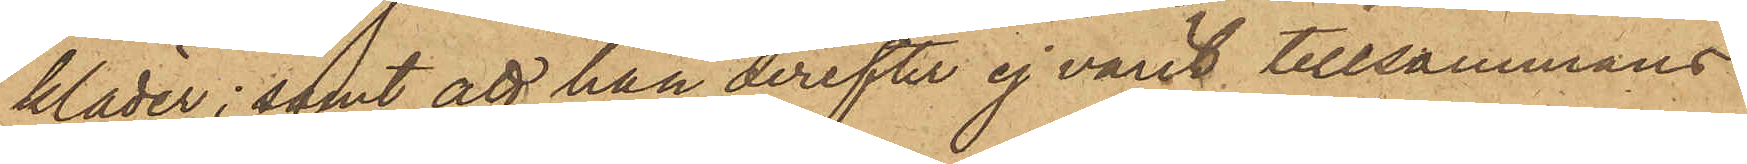kläder; samt att han derefter ej varit tillsammans
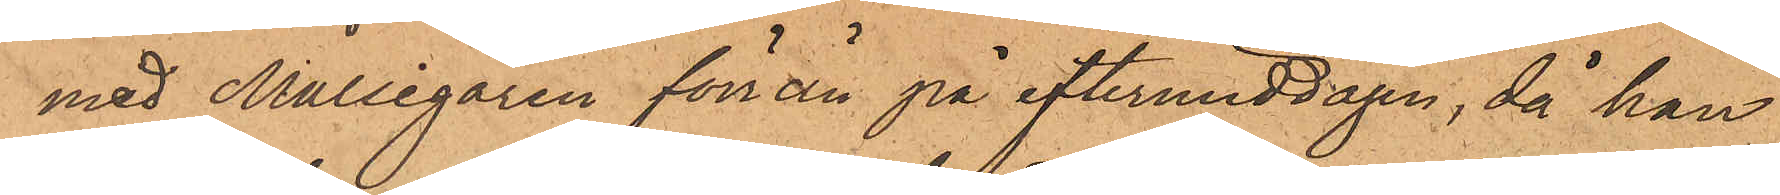med Målsegaren förrän på eftermiddagen, då han
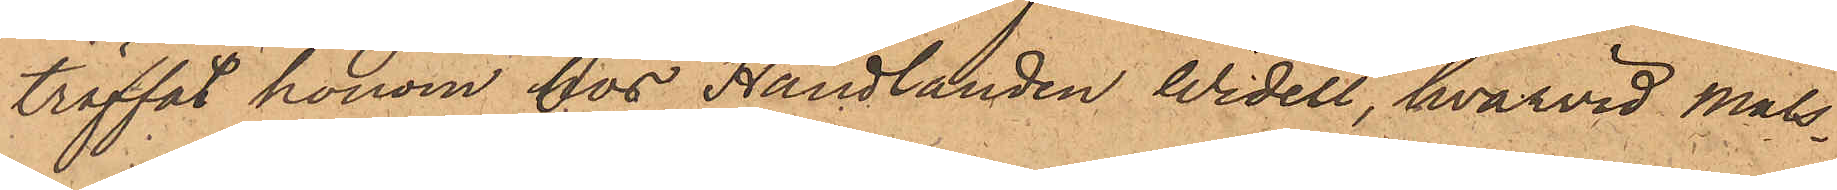träffat honom hos Handlanden Widell, hvarvid måls¬
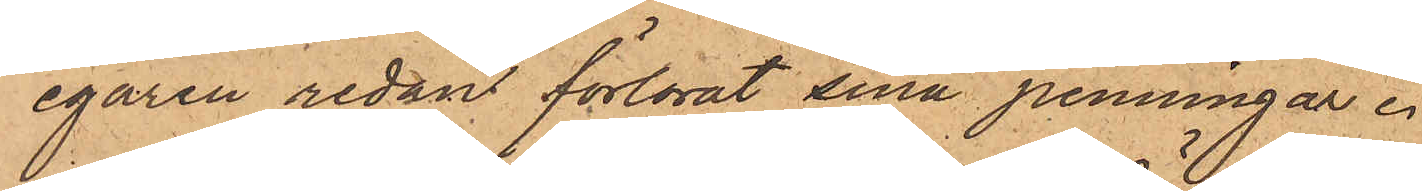egaren redan förlorat sina penningar.
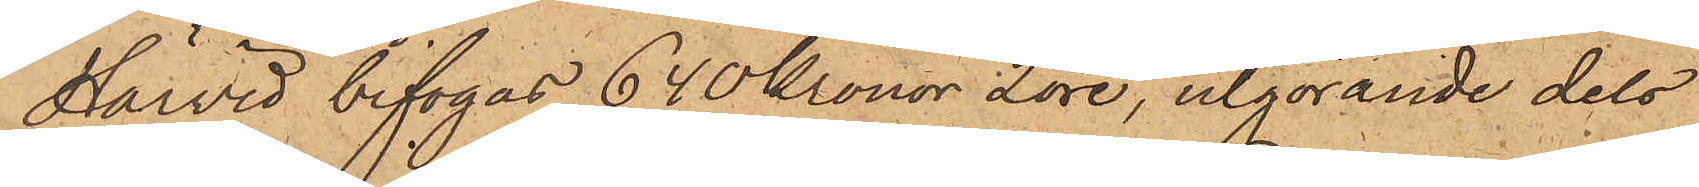Härvid bifogas 640 Kronor 2 öre, utgörande dels
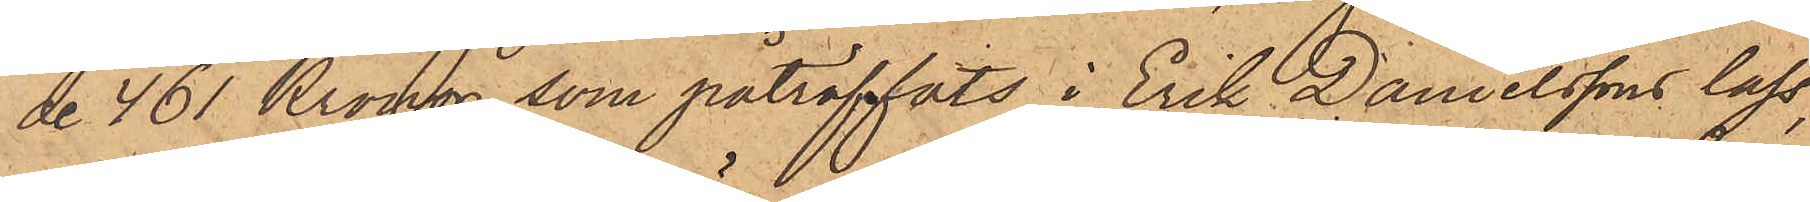de 461 Kronor, som påträffats i Erik Danielssons lass,
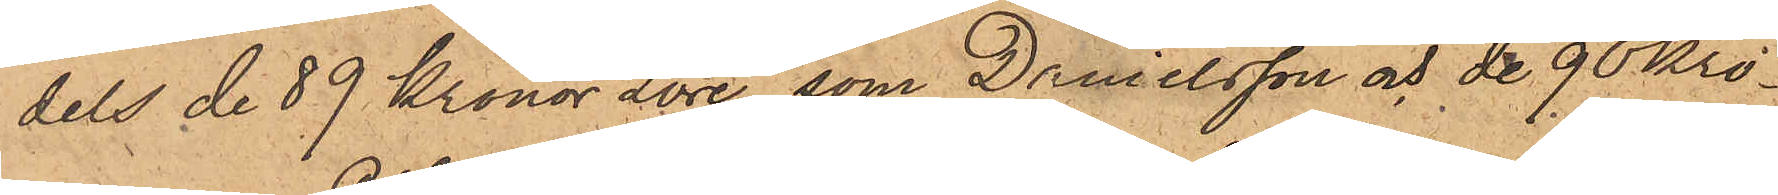dels de 89 Kronor 2 öre, som Danielsson och de 90 Kro¬
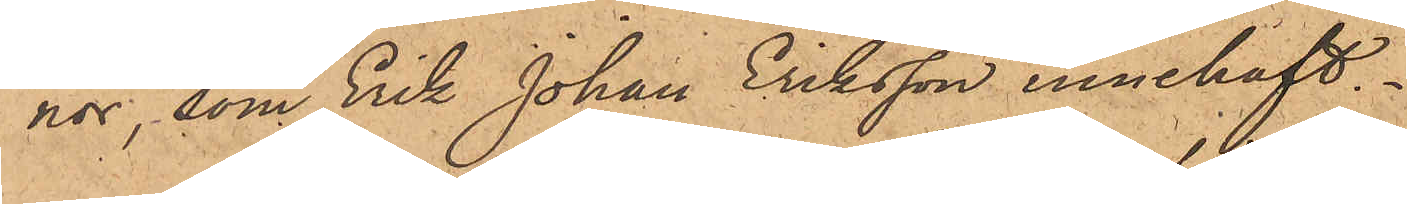nor, som Erik Johan Eriksson innehaft.
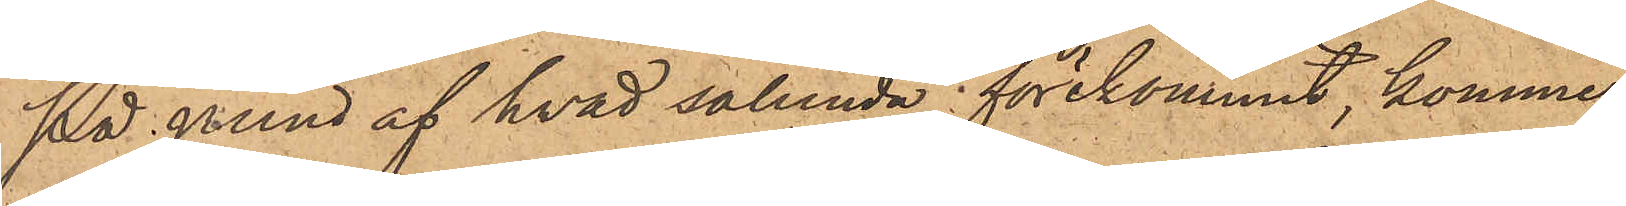På grund af hvad sålunda förekommit, kommer
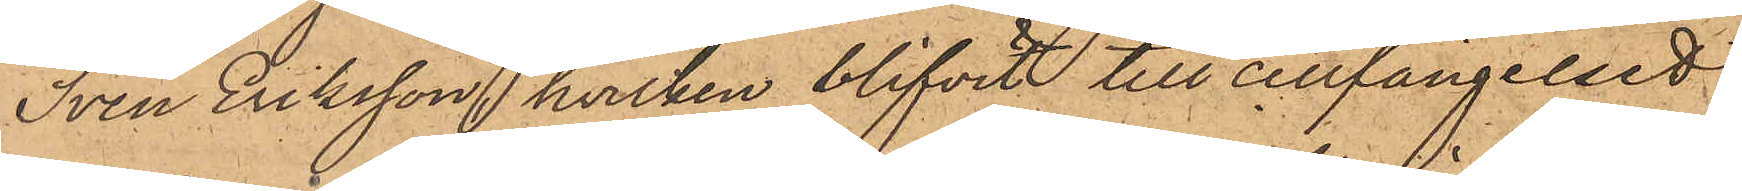Sven Eriksson, hvilken blifvit till cellfängelset
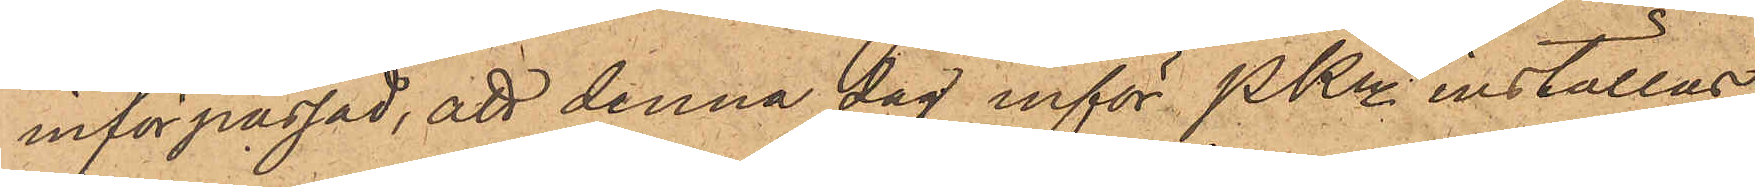införpassad, att denna dag inför PKn inställas,
